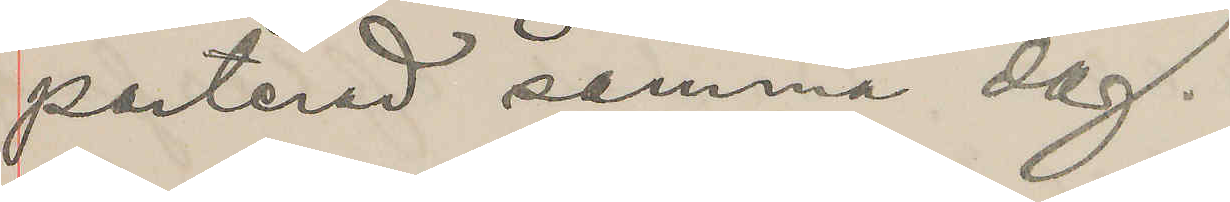porterad samma dag.
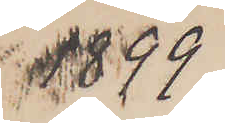1899
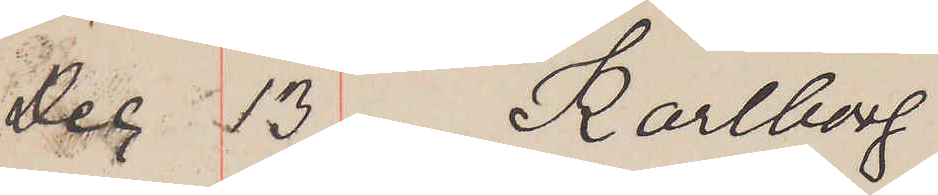Dec 13 Karlborg.
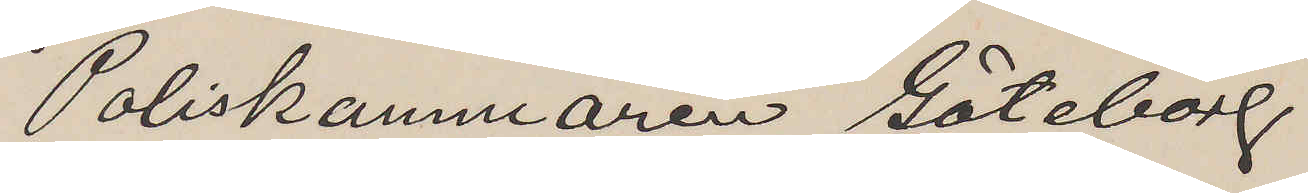Poliskammaren Göteborg
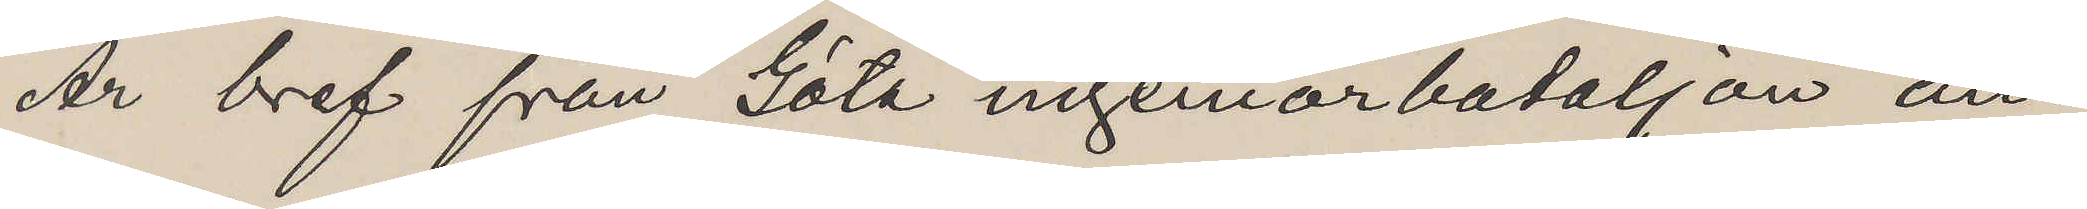Är bref från Göta ingeniörbataljon an¬
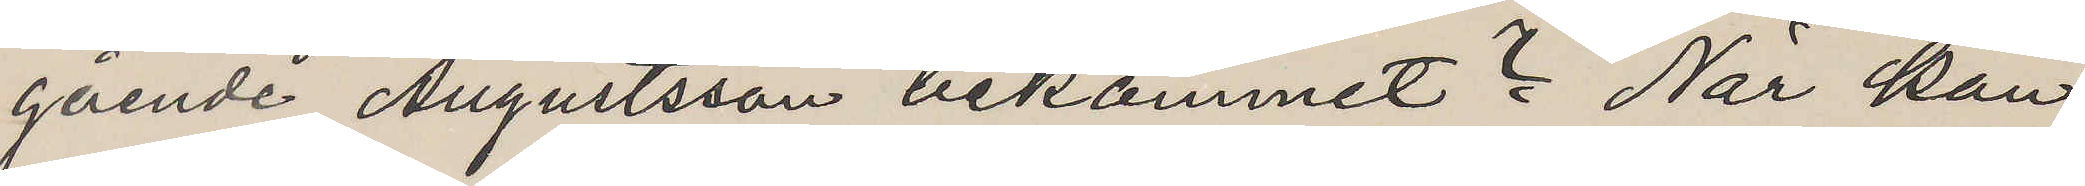gående Augustsson bekommet? När kan
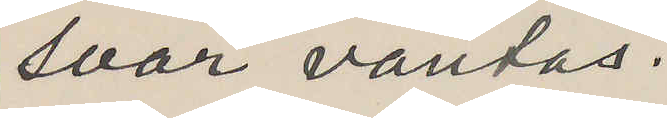svar väntas.
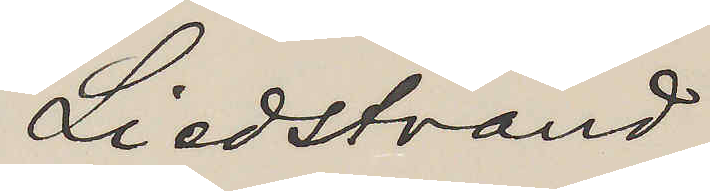Liedstrand
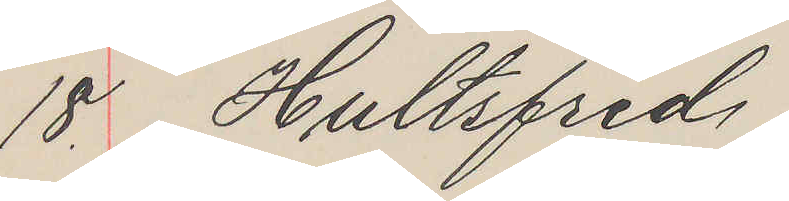18. Hultsfred
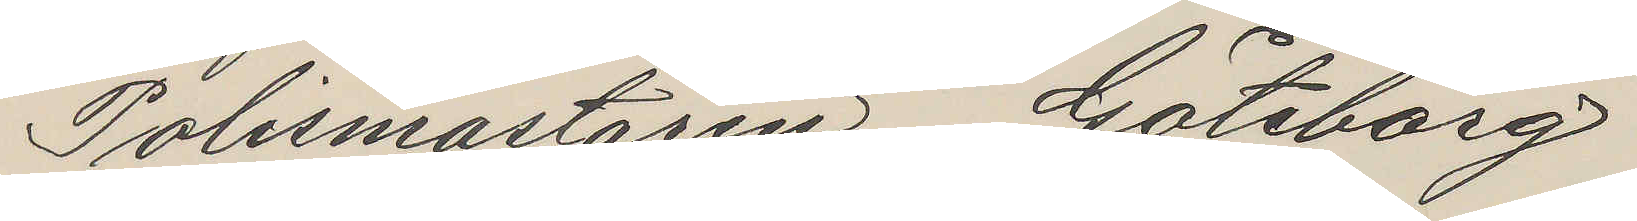Polismästaren Göteborg
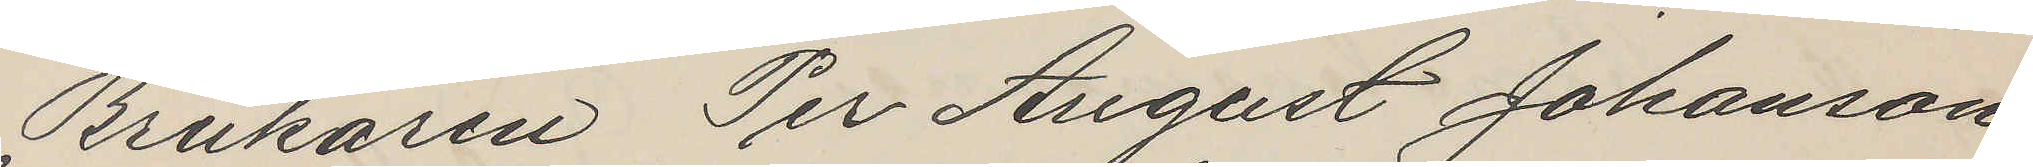Brukaren Per August Johanson
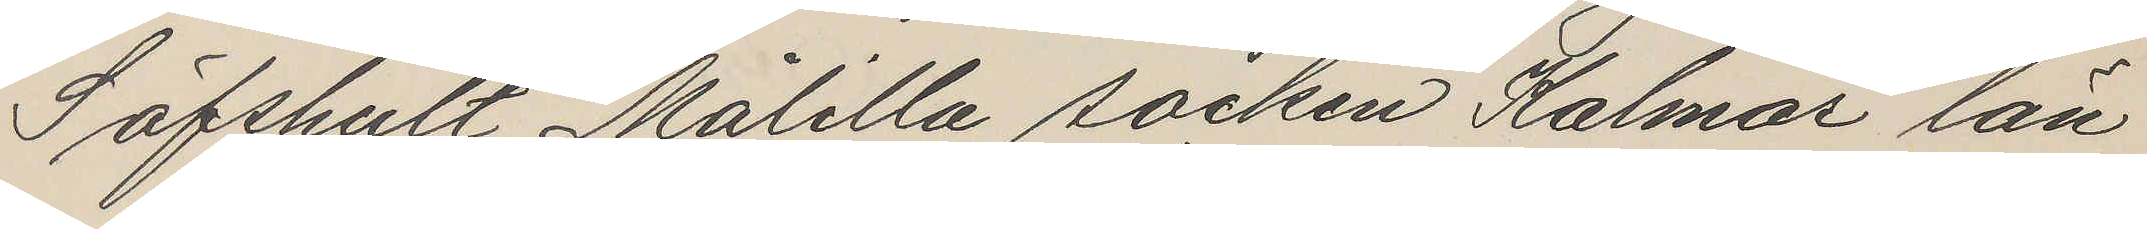Säfshult Målilla socken Kalmar län
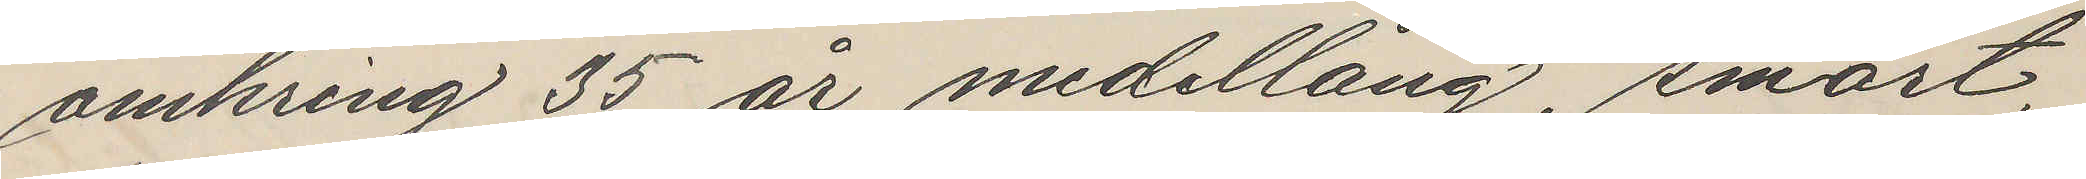omkring 35 år medellång, smärt,
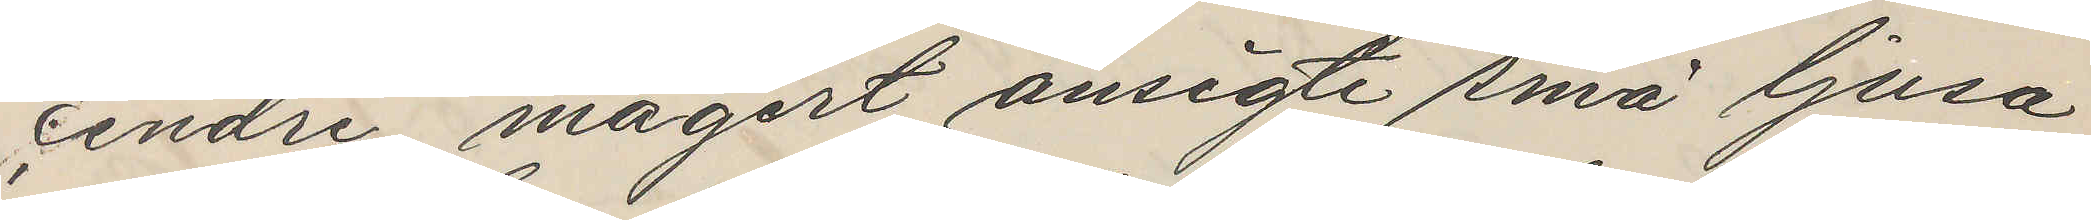cendre, magert ansigte små ljusa
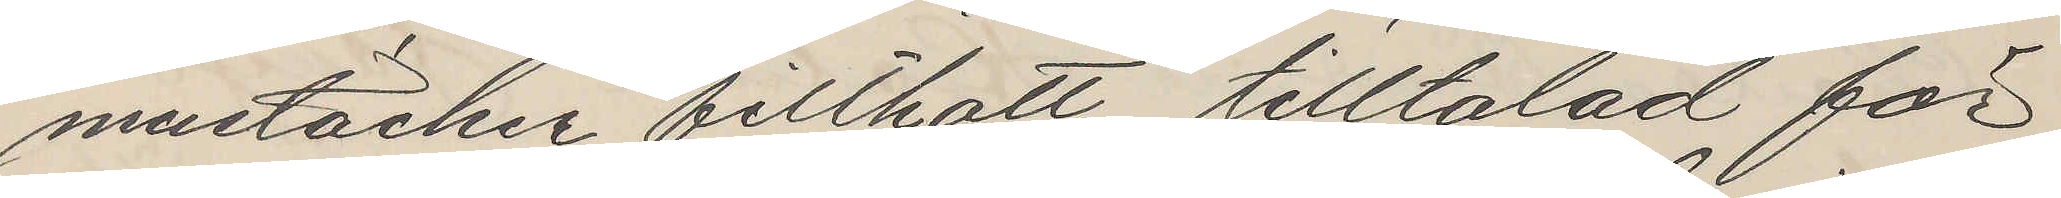mustacher filthatt, tilltalad för
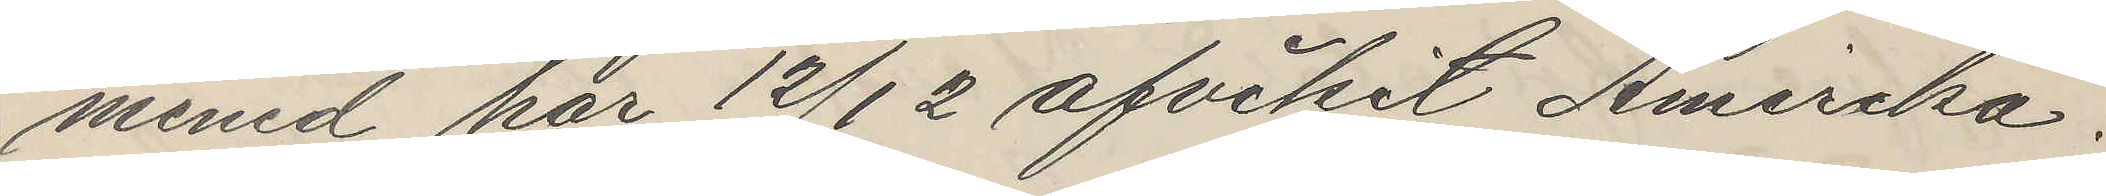mened har 12/12 afvikit Amerika.
